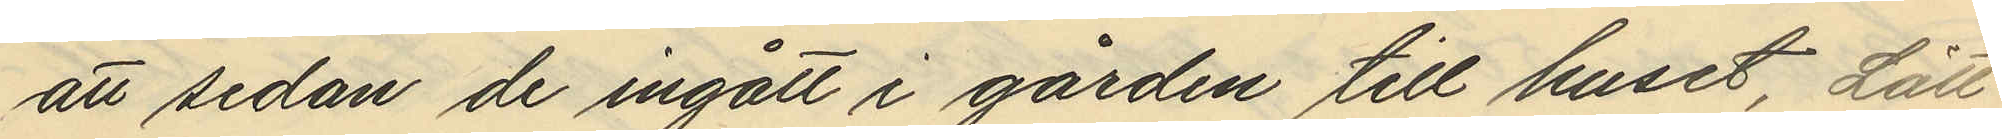att sedan de ingått i gården till huset, Lätt
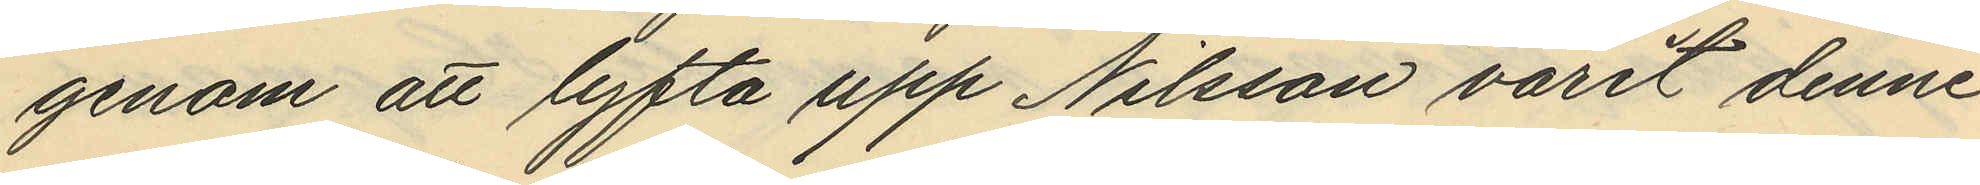genom att lyfta upp Nilsson varit denne
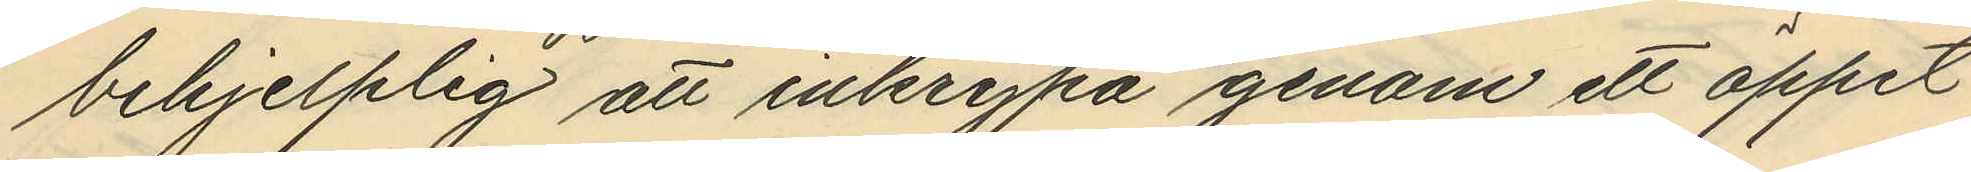behjelplig att inkrypa genom ett öppet
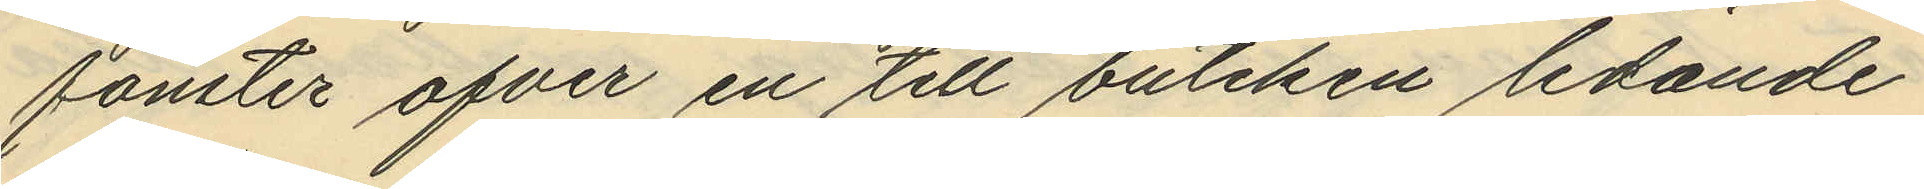fönster öfver en till butiken ledande
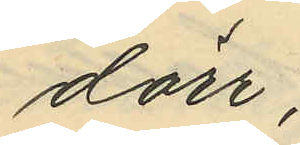dörr;
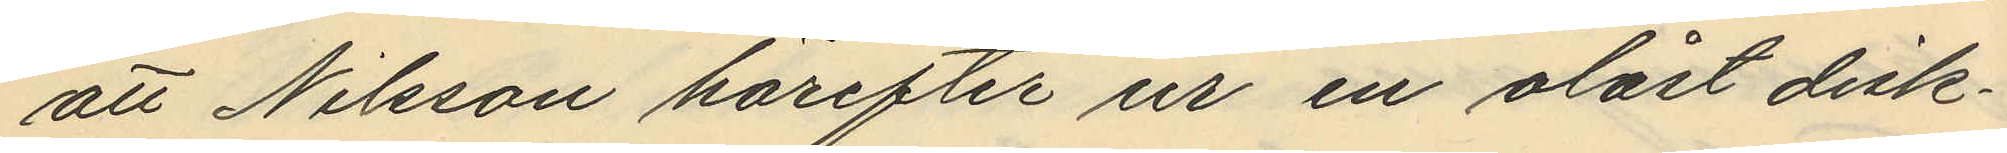att Nilsson härefter ur en olåst disk¬
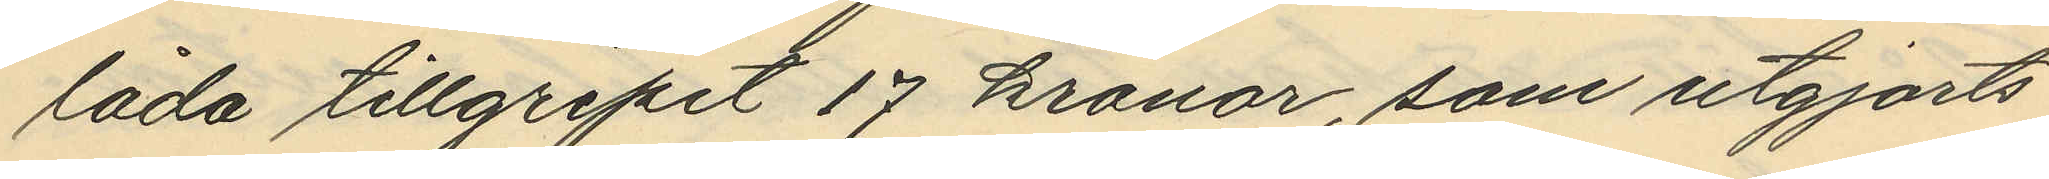låda tillgripit 17 kronor, som utgjorts
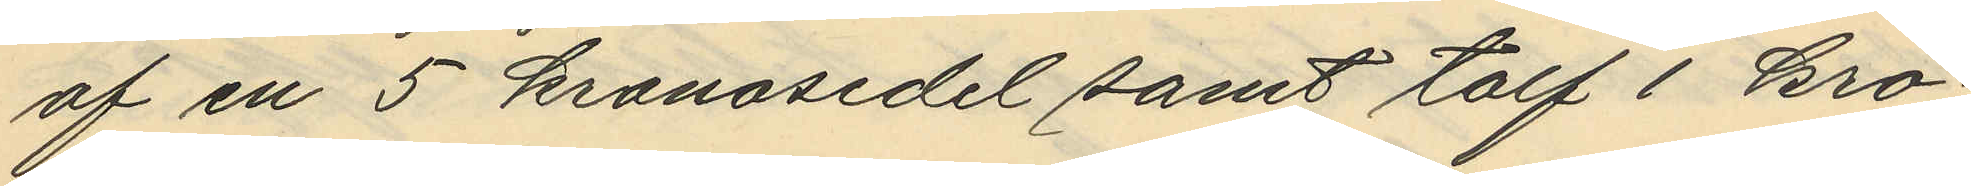af en 5 kronosedel samt tolf 1 kro¬
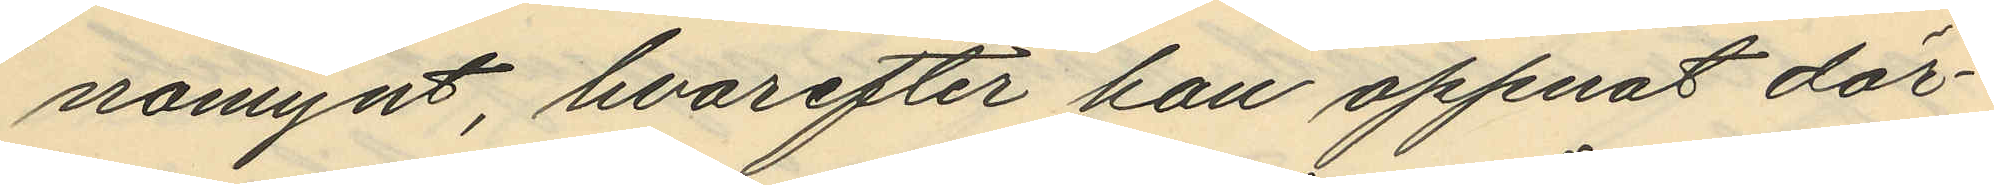norsmynt, hvarefter han öppnat dör¬
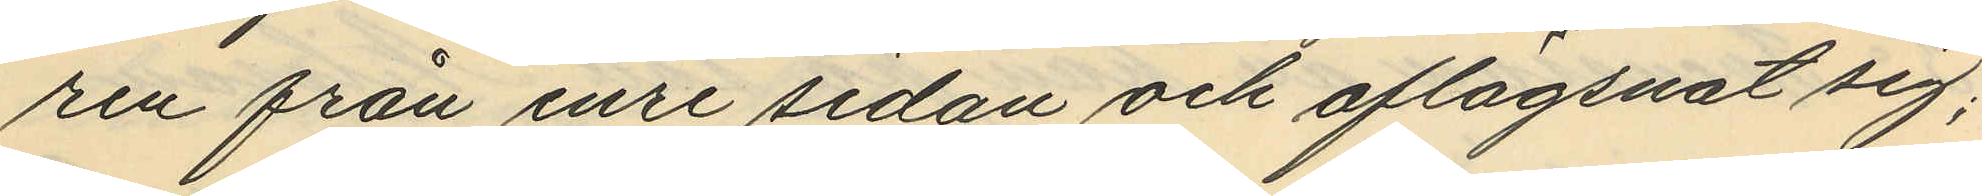ren från inre sidan och aflägsnat sig;
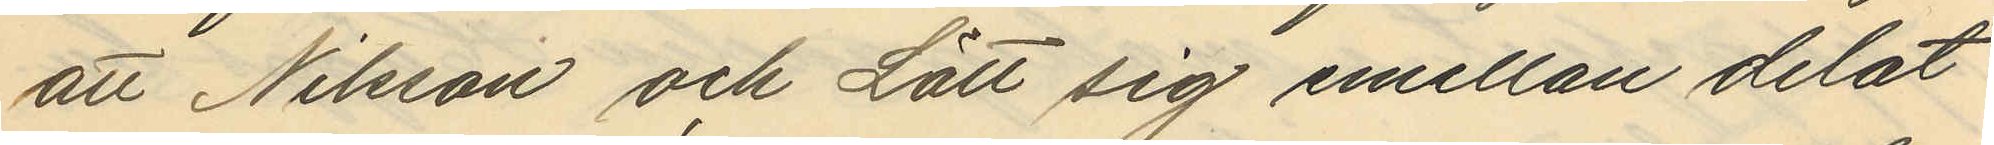att Nilsson och Lätt sig emellan delat
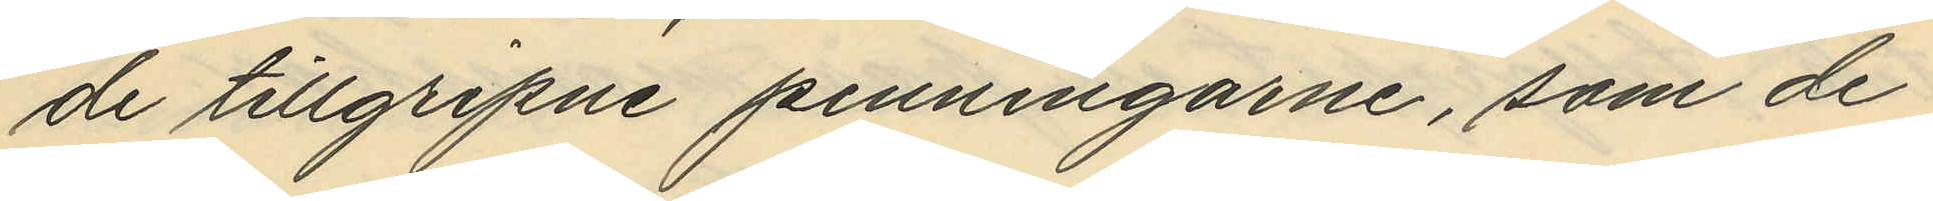de tillgripne penningarne, som de
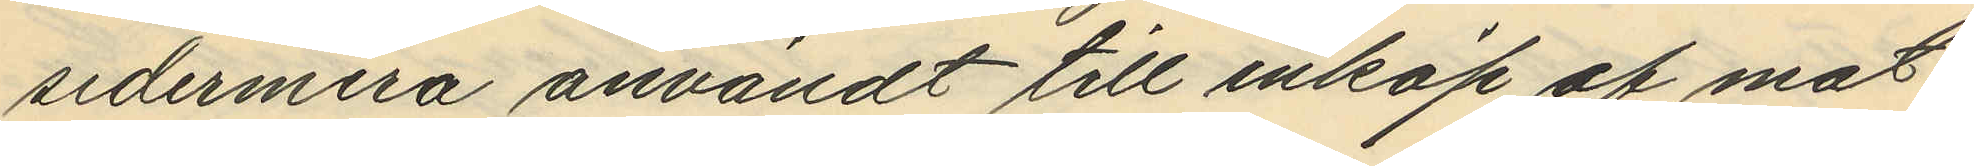sedermera användt till inköp af mat¬
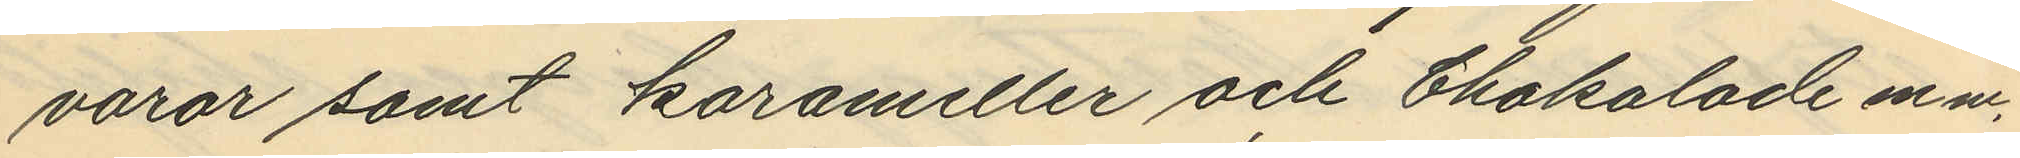varor samt karameller och chokolade en mm,
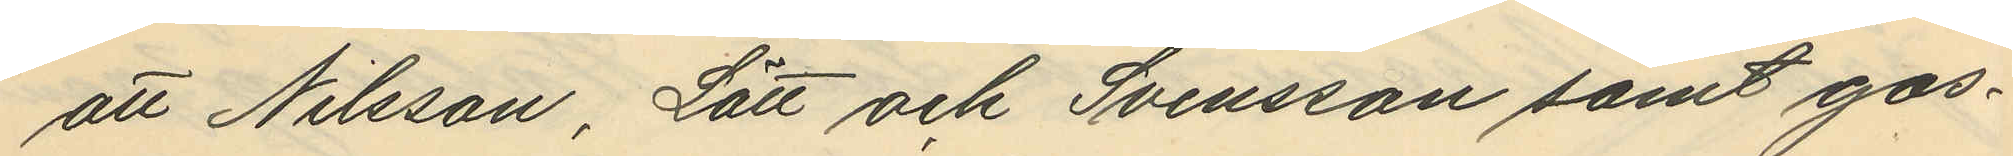att Nilsson, Lätt och Svensson samt gos¬
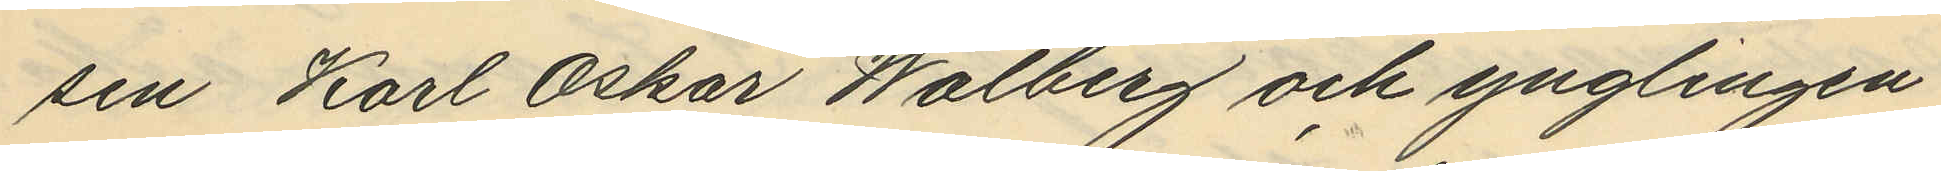sen Karl Oskar Walberg och ynglingen
